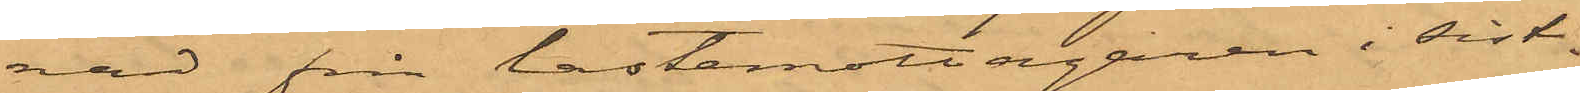nad från lastemottagaren i sist
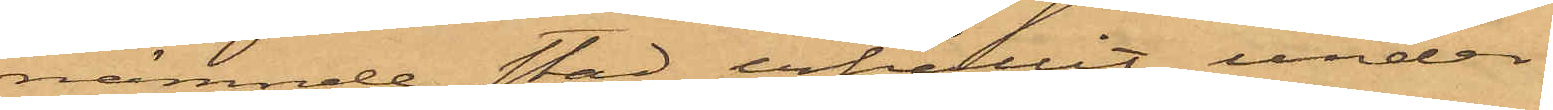nämnde stad erhållit under¬
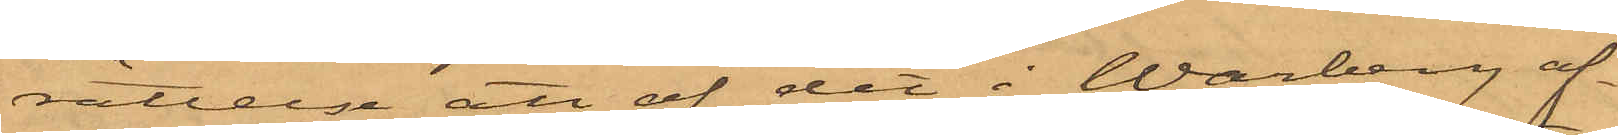rättelse att af det i Warberg af¬
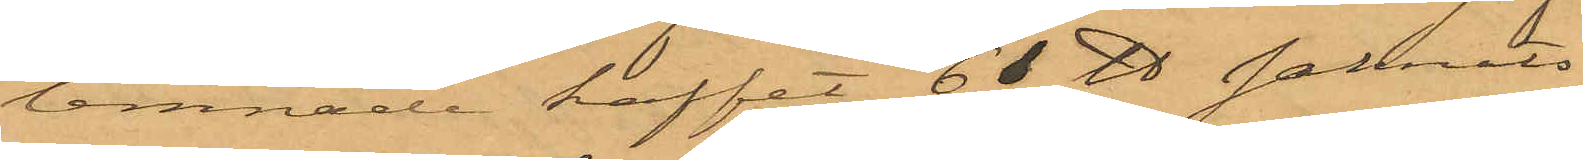lemnade kaffet 61 ℔ saknats
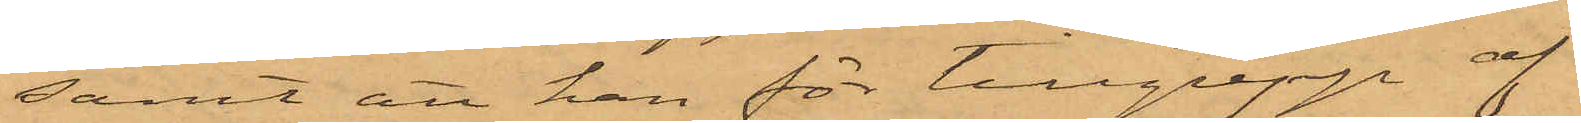samt att han för tillgrepp af
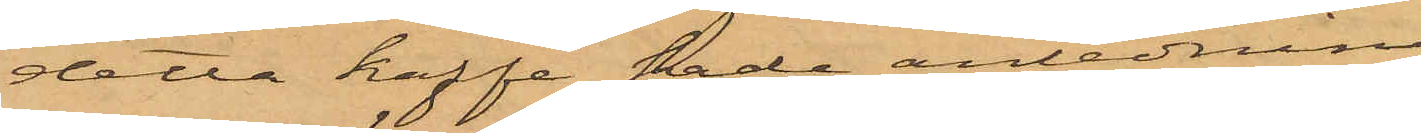detta kaffe hade anledning
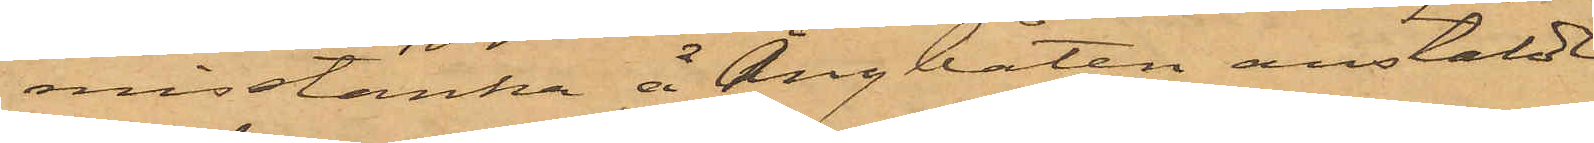misstänka å Ångbåten anstälde
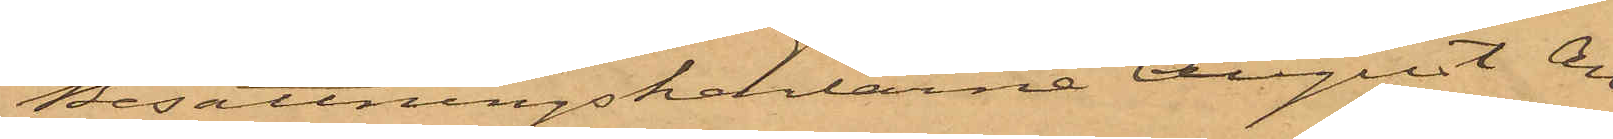Besättningskarlarne August An¬
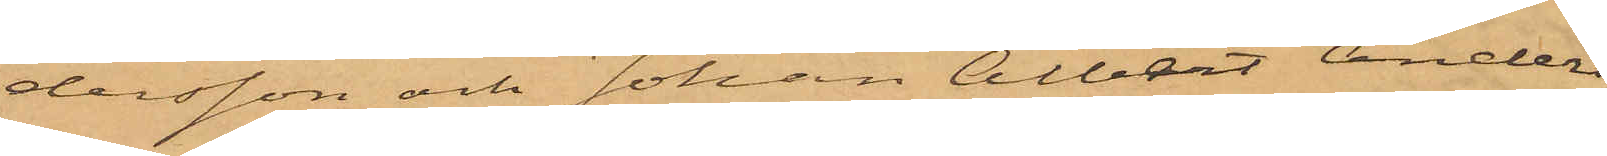dersson och Johan Albert Anders¬
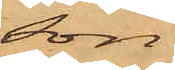son.
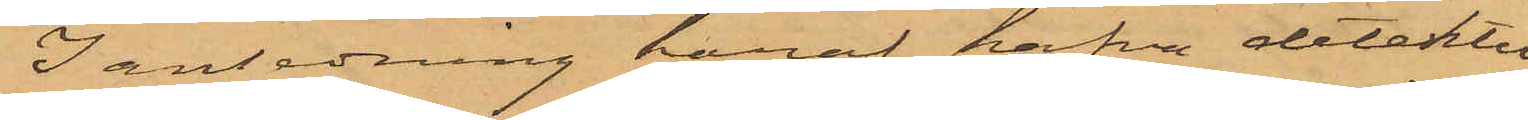I anledning häraf hafva detektiv¬
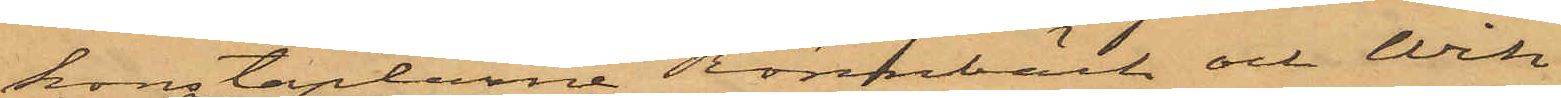konstaplarne Rönnbäck och Wik
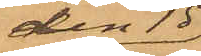den 15
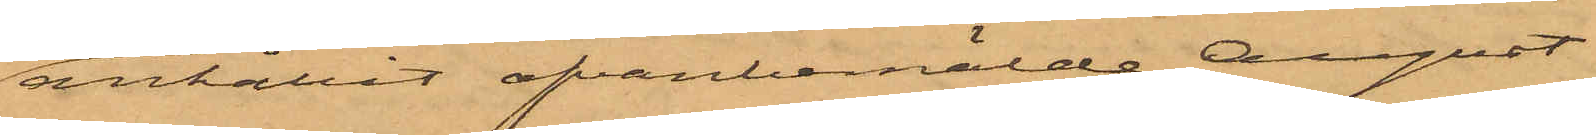anhållit ofvanbemälde August
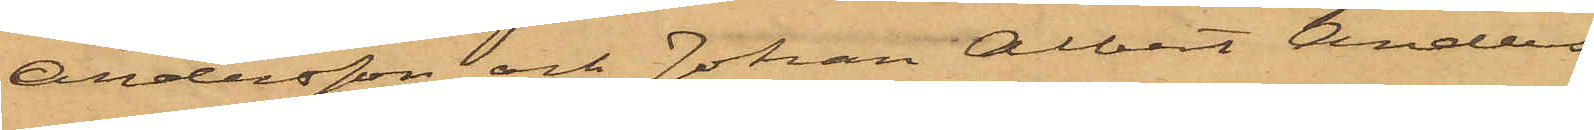Andersson och Johan Albert Anders¬
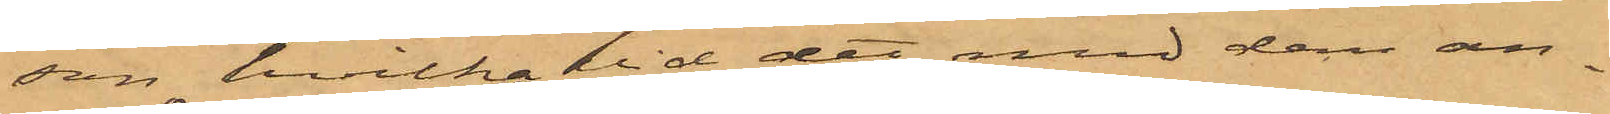son, hvilka vid det med dem an¬
